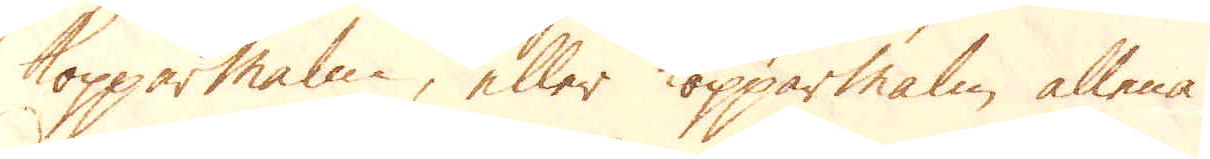Kopparmalm, eller Kopparmalm allena.
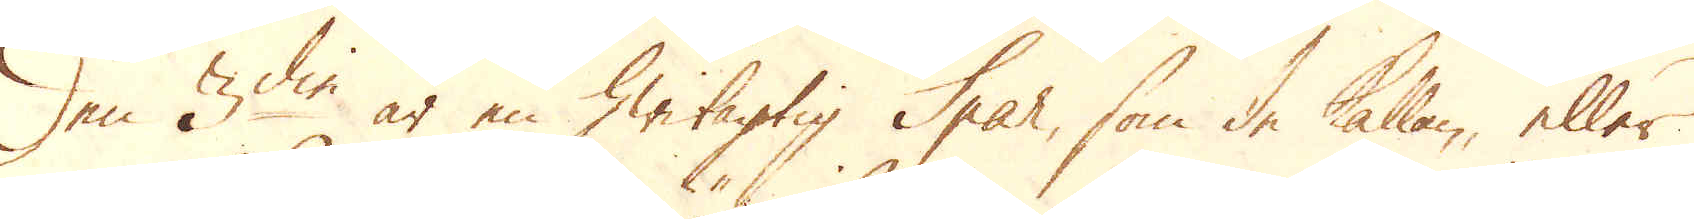Den 3:die är en hwitagtig Spar, som de kallan, eller
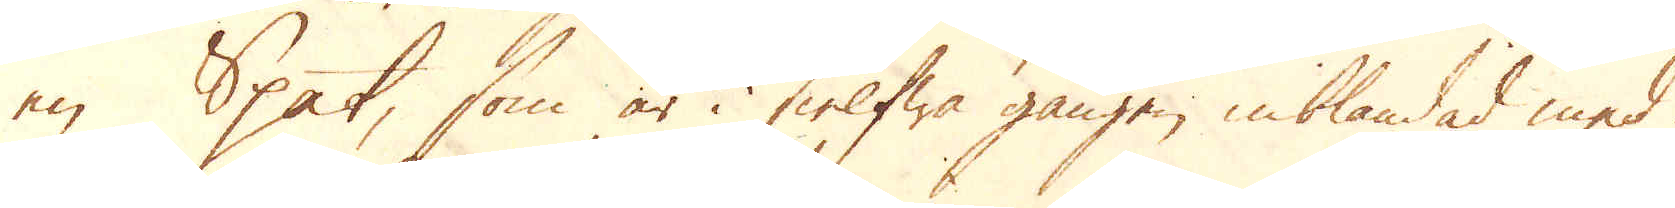en Spat, som är i sielfwa gången inblandad med
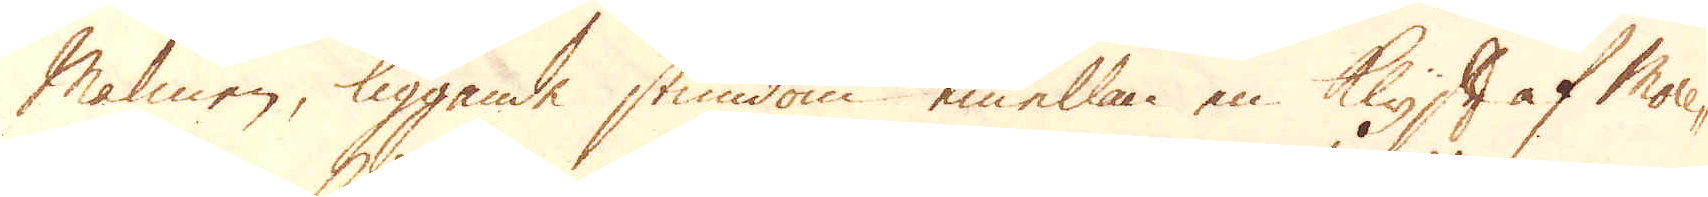Malmen, liggande stundom emellan en Klyft af More-
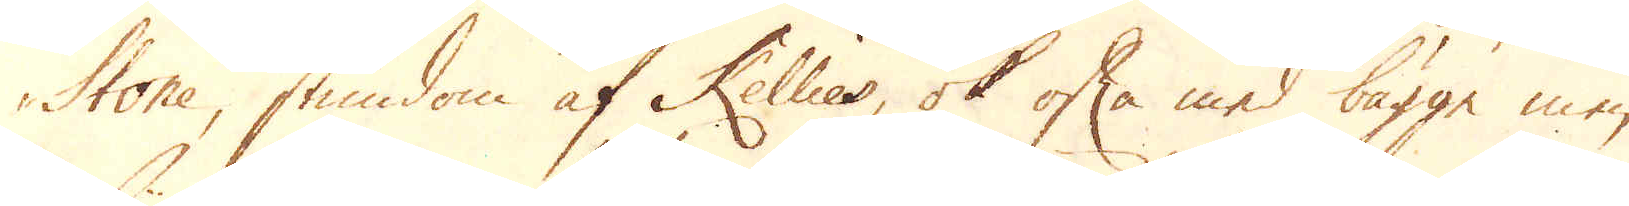Stone, stundom af Kellies, ok ofta med bägge men
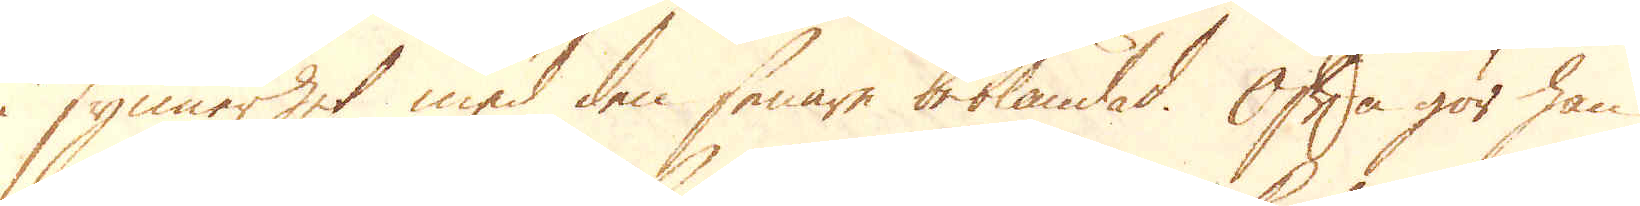i synnerhet med den senare beblandad. Ofta gör han
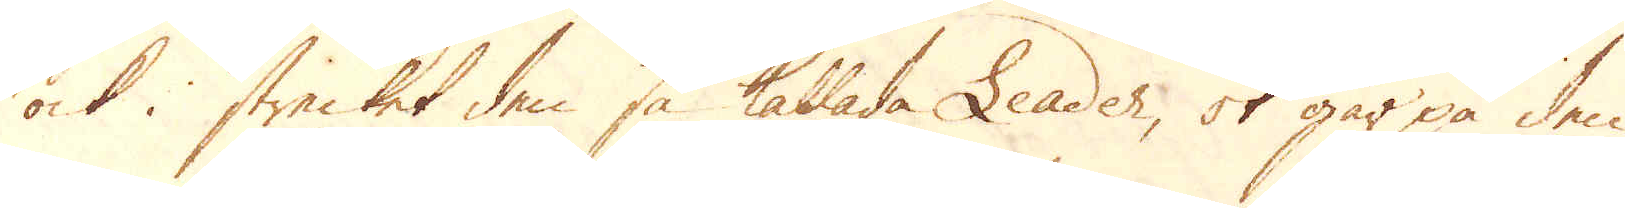ock i strecket den så kallade Leader, ok går på den
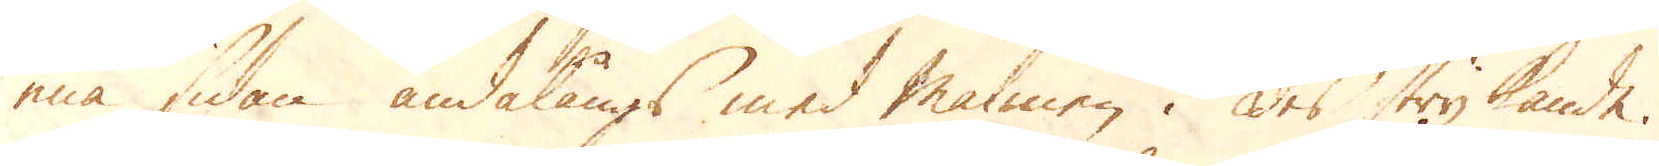ena sidan ändalångs med malmen i des strykande.
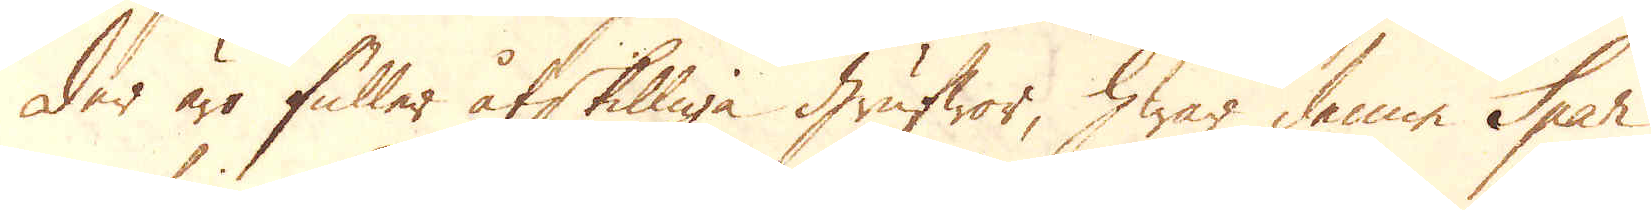Der äro fuller åtskilliga grufwor, hwar denne Spar
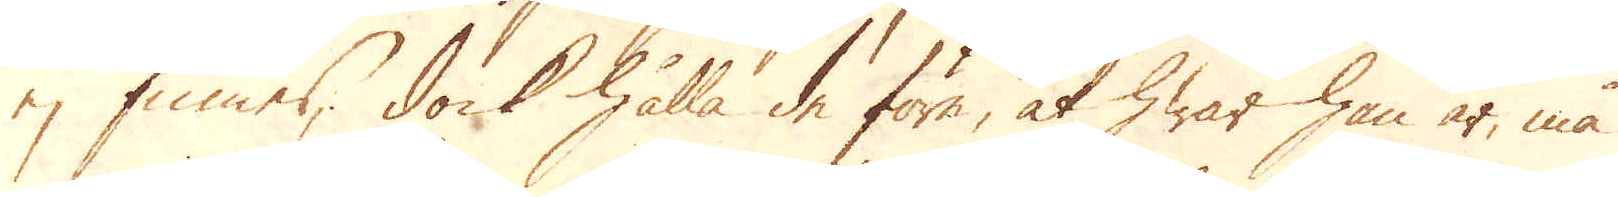ej finnes; dock hålla de förre, at hwar han är, må
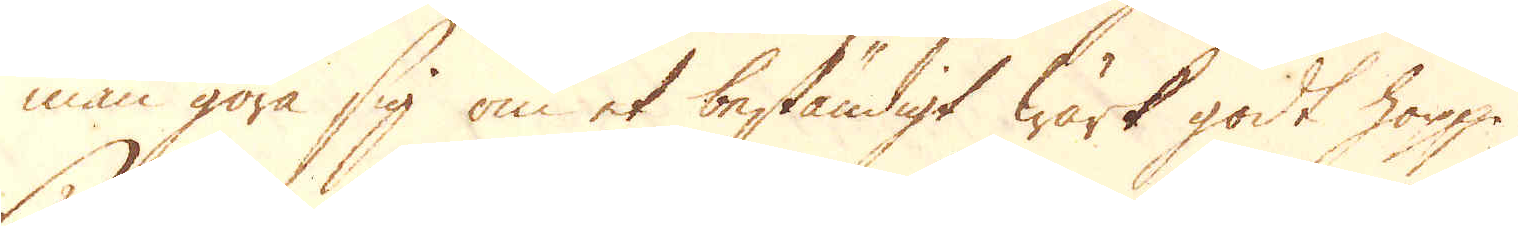man göra sig om et beständigt wärk godt hopp.
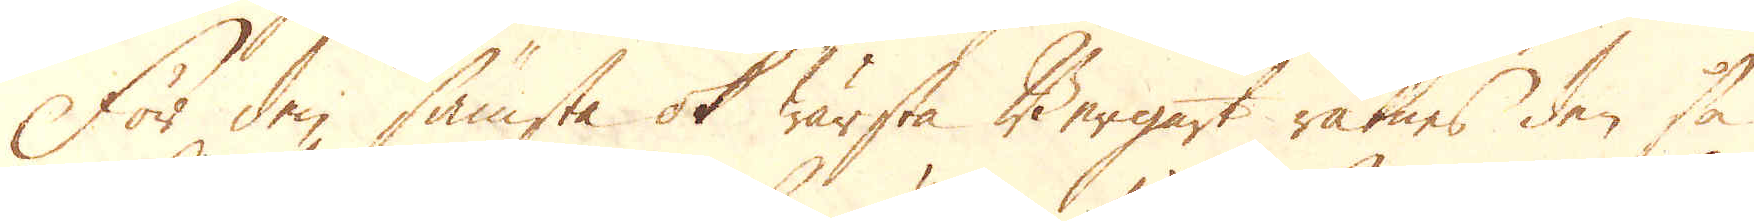För den sämsta ok wärsta Bergart räknes den så
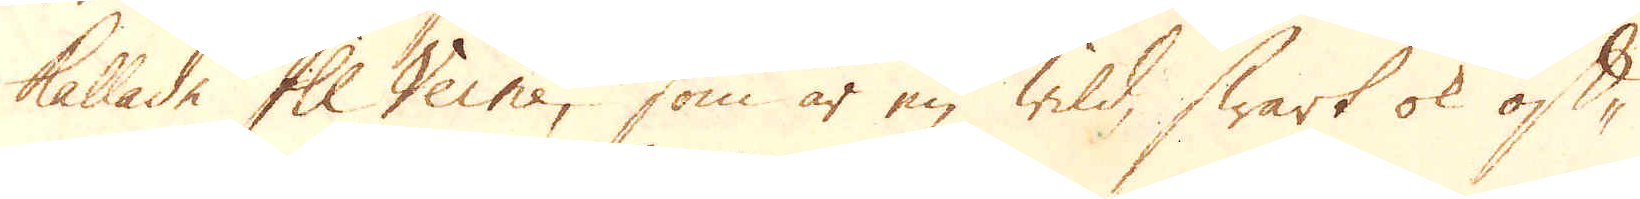kallade Ill Veine, som är en willd, swart ok ask-
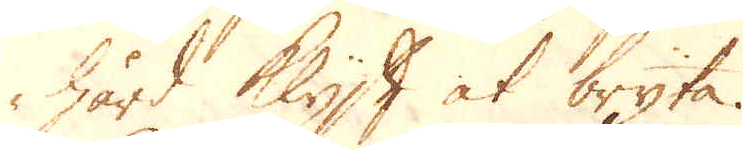hård Klyft at bryta.
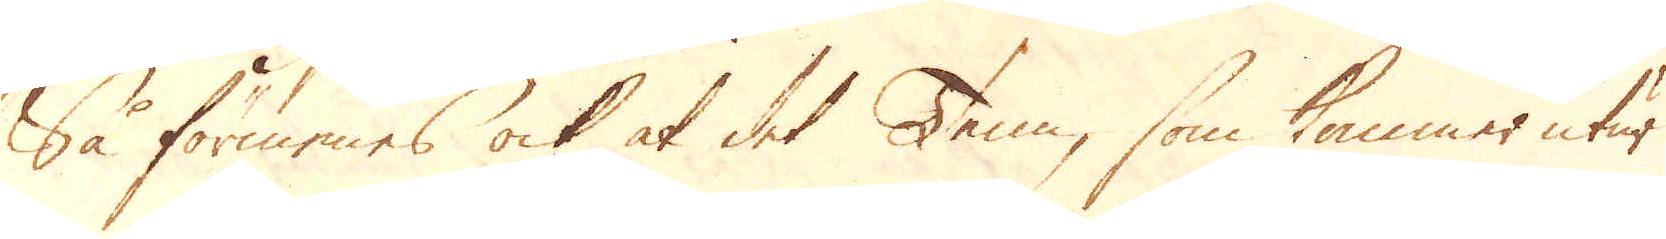Så förmenas ock at det Tenn, som kommer utur
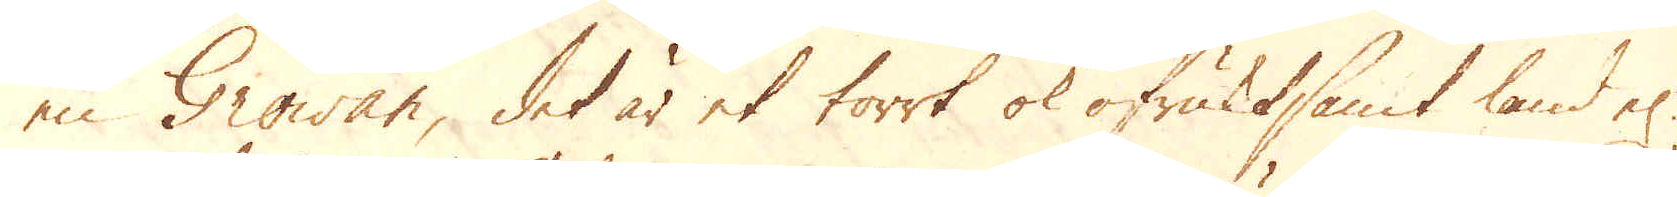en Growan, det är et torrt ok ofruktsamt land el:r
